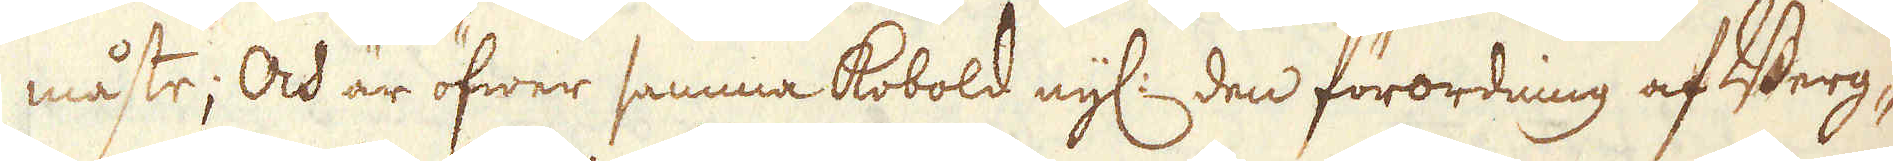måste; Och är öfwer samma Kobold nyl: den förordning af Berg-
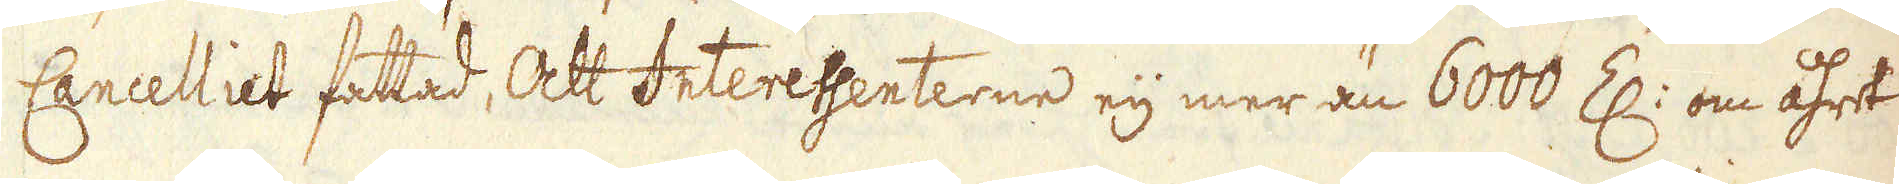Cancelliet fattad, Att Interessenterne eij mer än 6000 Z: om åhret
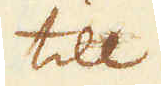till
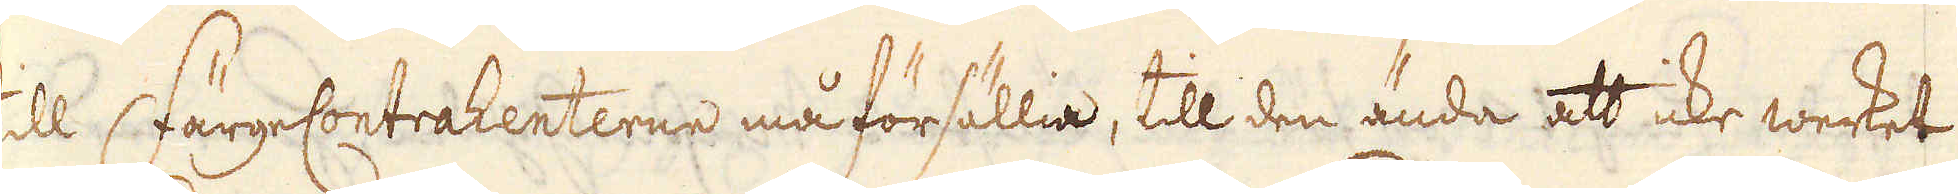till FärgeContrahenterne må försällia, till den ända att icke werket
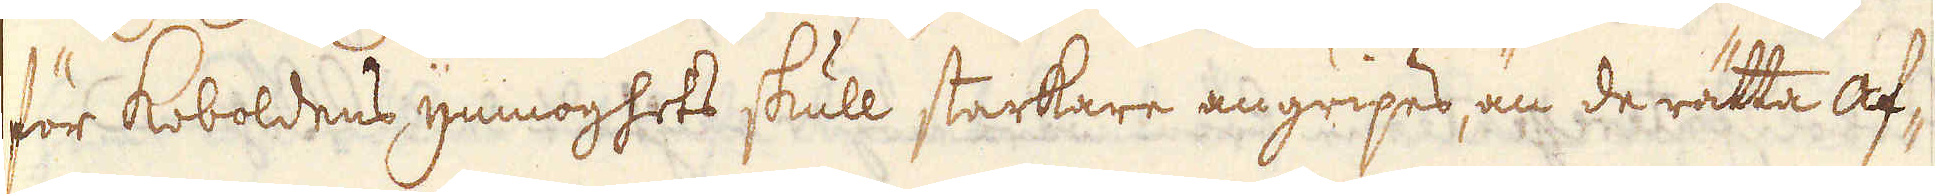för Koboldens ymnoghets skull starkare angripes, än de rätta af-
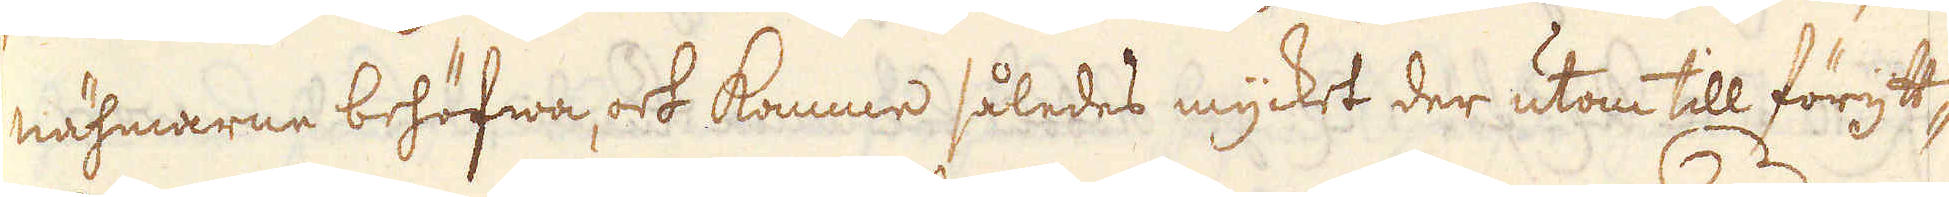nähmarne behöfwa, och komme således mycket der utom till förytt-
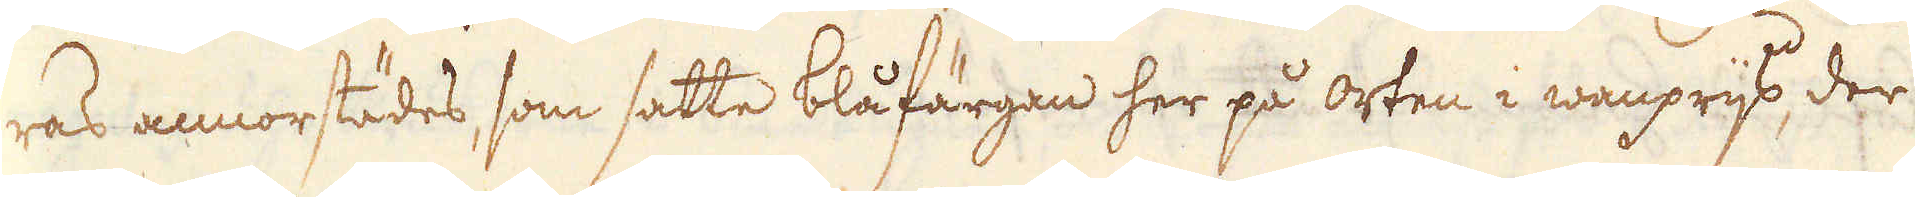ras annorstädes, som satte blåfärgan her på orten i wanprijs, der
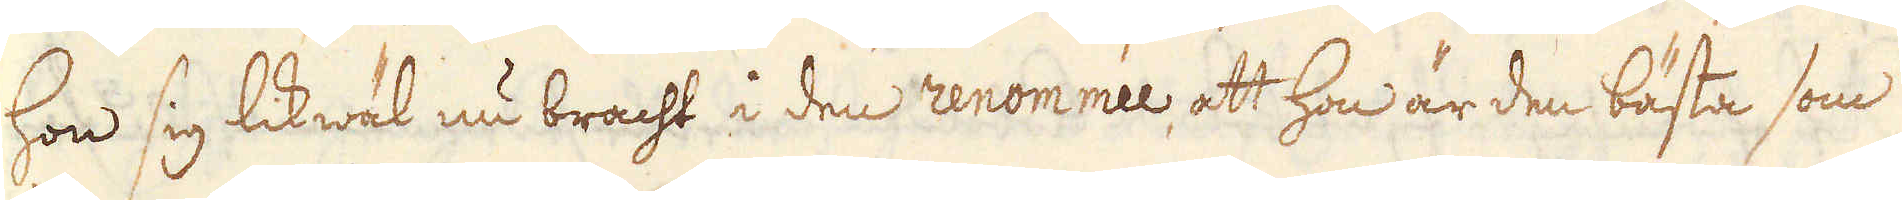hon sig likwäl nu bracht i den renommée, att hon är den bästa som
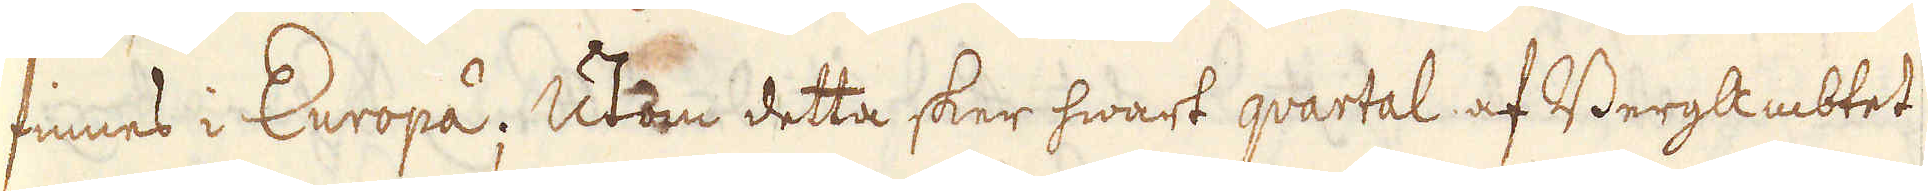finnes i Europa; Utom detta sker hwart qvartal af BergAmbtet
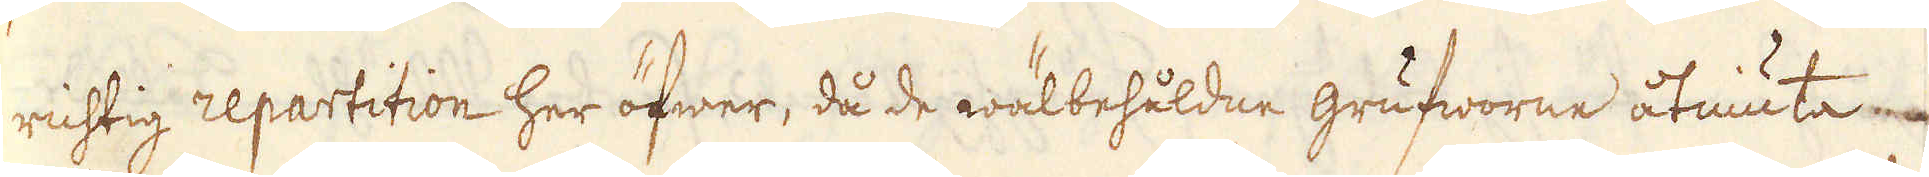richtig repartition her öfwer, då de wälbehåldne grufworne åtniuta
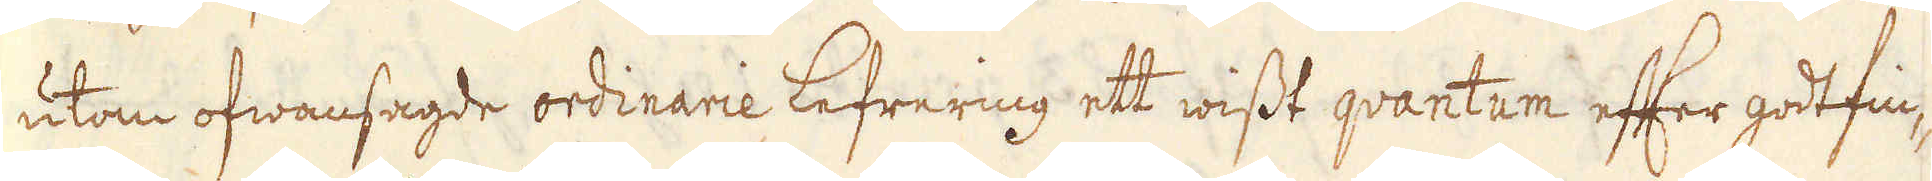utom ofwansagde ordinarie lefrering ett wisst qvantum efter godtfin-
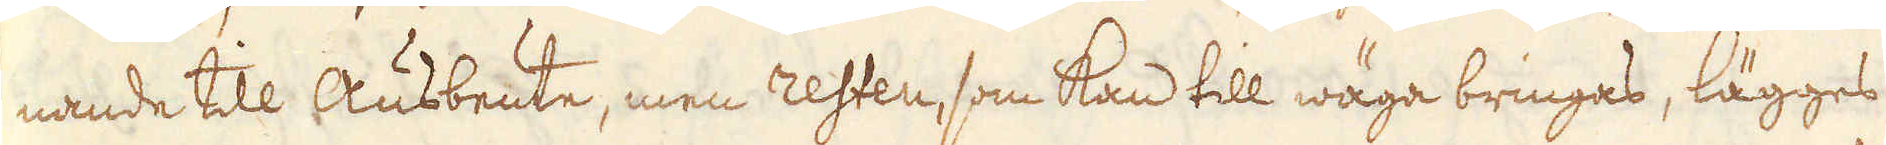nande till Ausbeute, men resten, som kan till wäga bringas, lägges
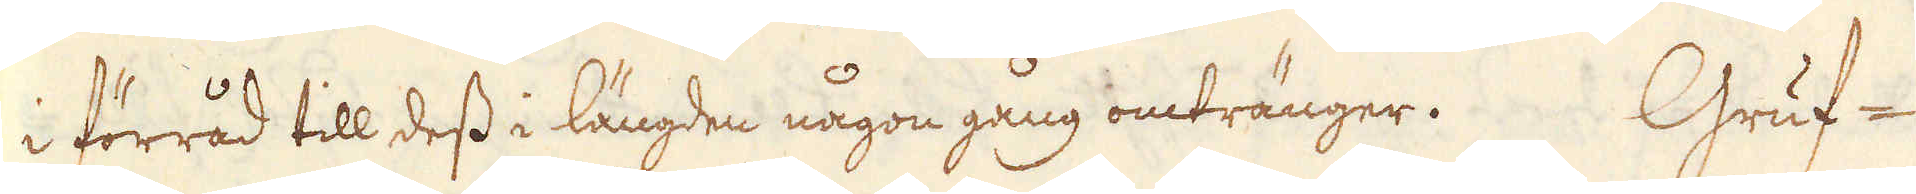i förråd till dess i längden någon gång omtränger. Gruf-
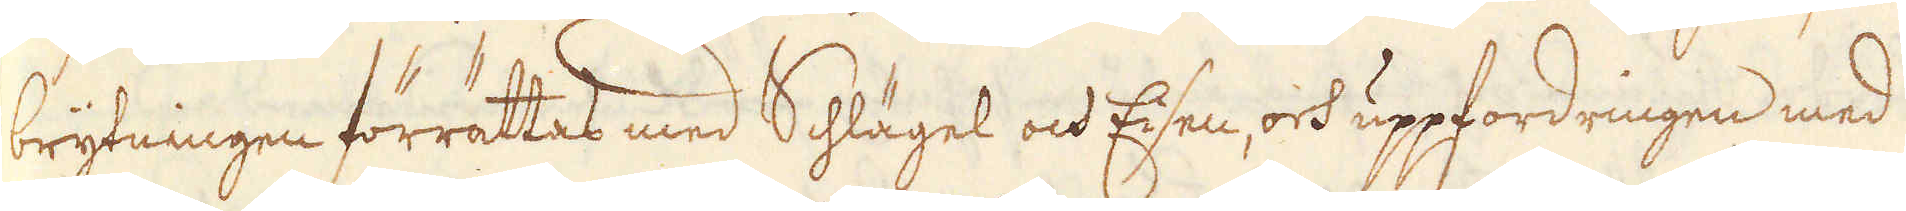brytningen förrättas med Schlägel och Eisen, och uppfordringen med
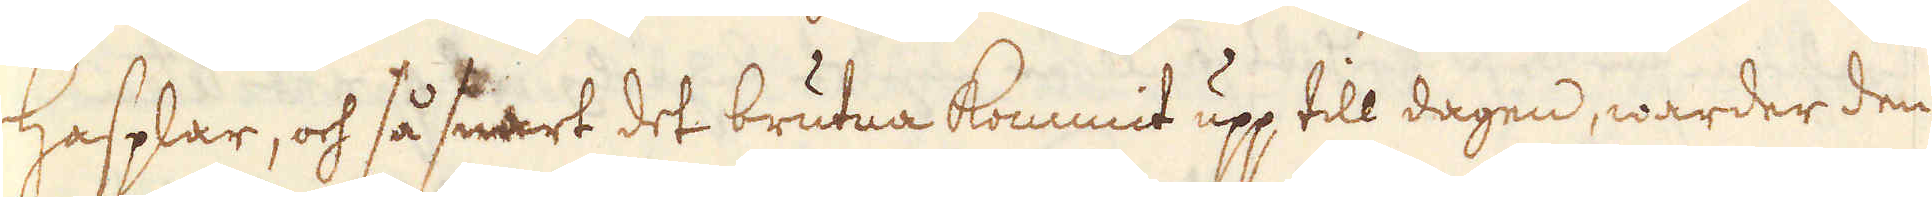Hasplar, och så snart det brutna kommit upp till dagen, warder den
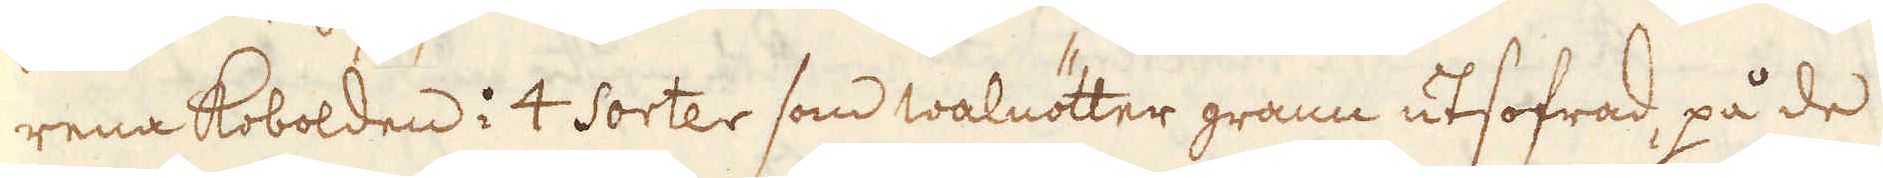rena Kobolden i 4 Sorter som walnötter grann utsofrad, på de
